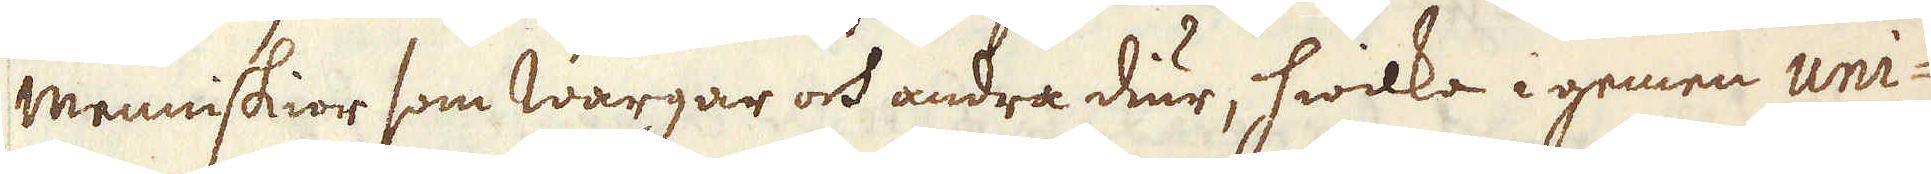menniskior som Wargar och andra diur, hwilka i gemen uni-
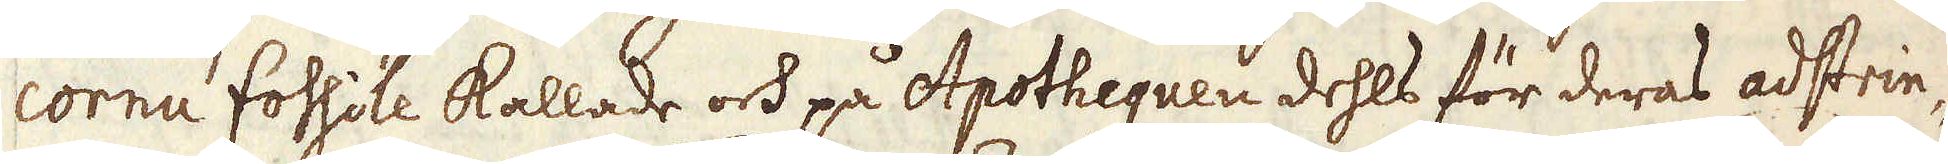cornu fossile kallade och på Apothequen dehls för deras adstrin-
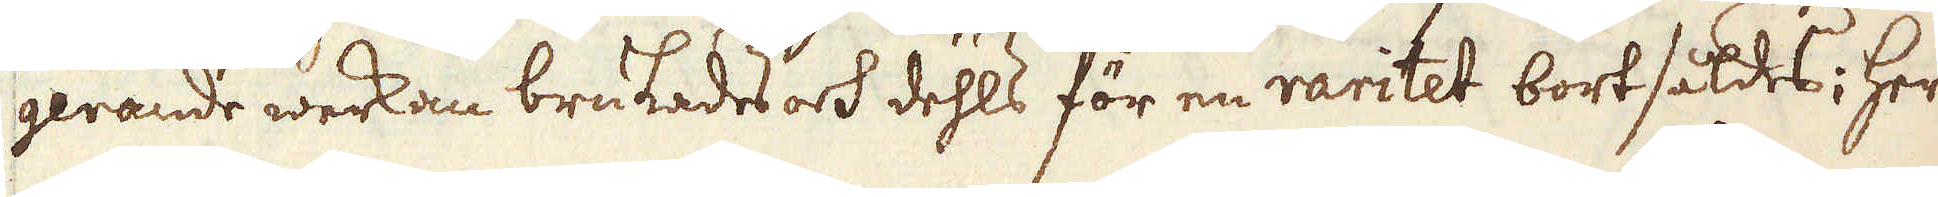gerande werkan brukades och dehls för en raritet bortsåldes; her
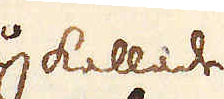såkallade
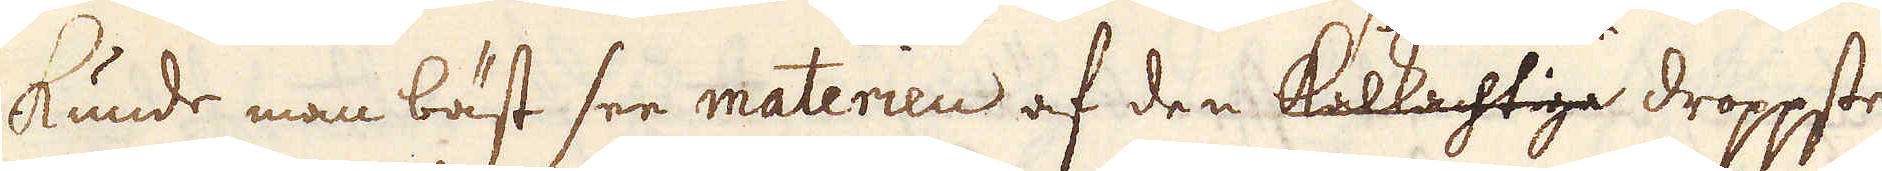kunde man bäst see materien af den kalkachtiga droppste-
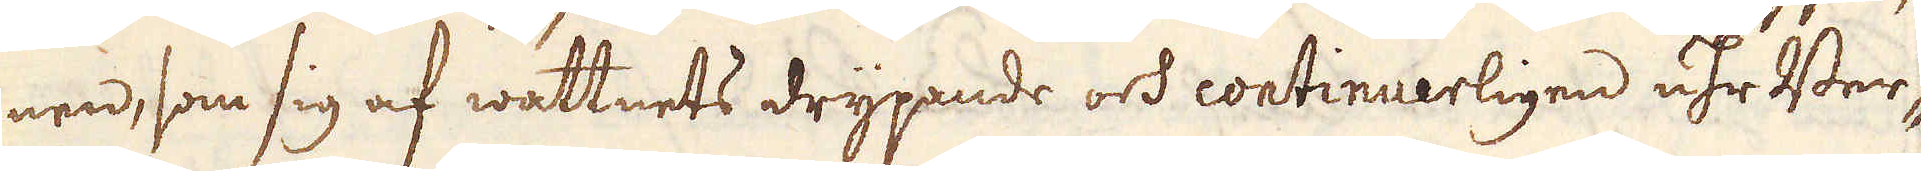nen, som sig af wattnets drypande och continuerligen uhr Ber-
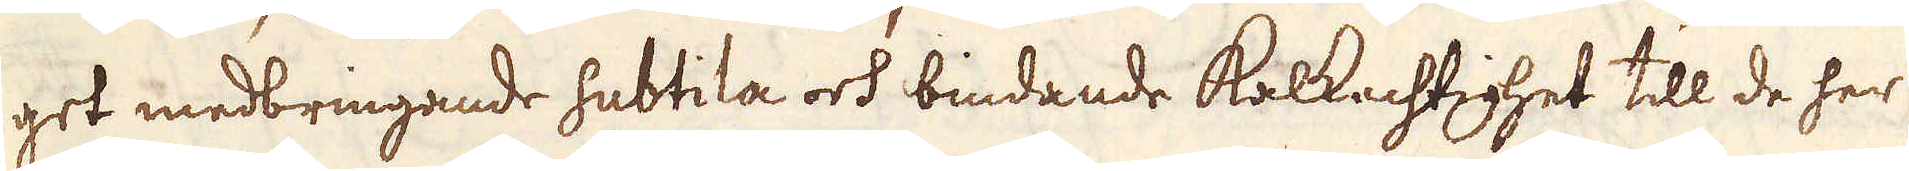get medbringande subtila och bindande kalkachtighet till de her
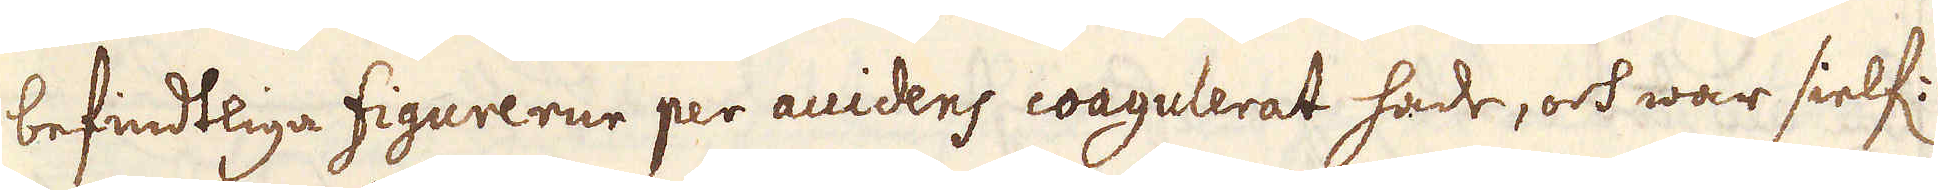befindtliga figurerne per auidens coagulerat hade, och war sielf:
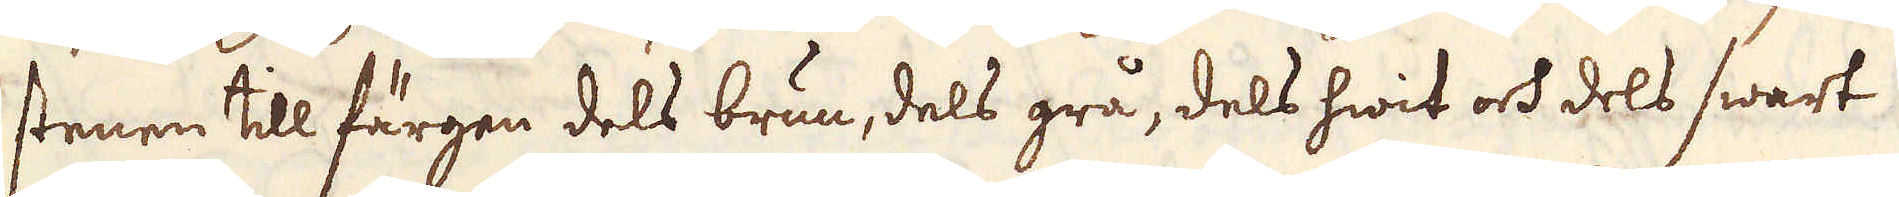stenen till färgen dels brun, dels grå, dels hwit och dels swart
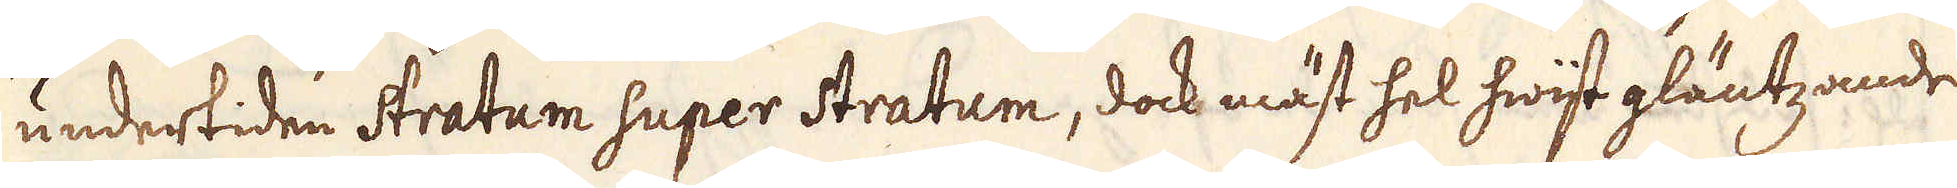undertiden Stratum super Stratum, dock mäst hel hwiit gläntzande
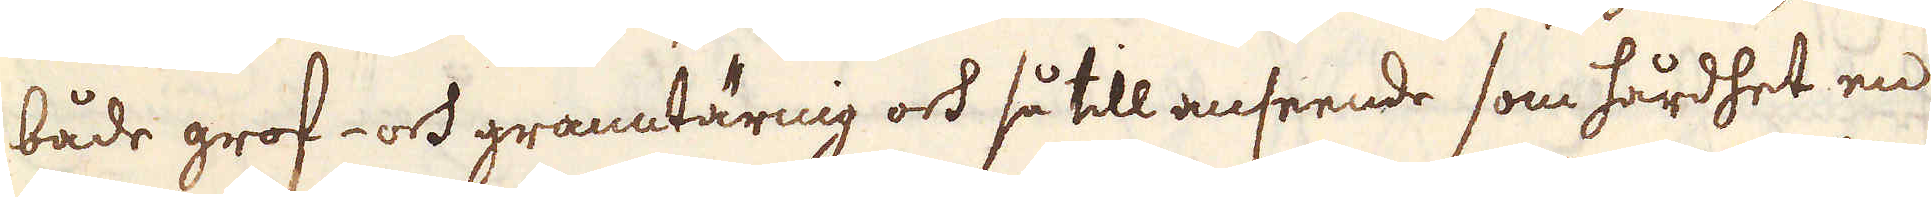både grof- och granntärnig och så till anseende som hårdhet en
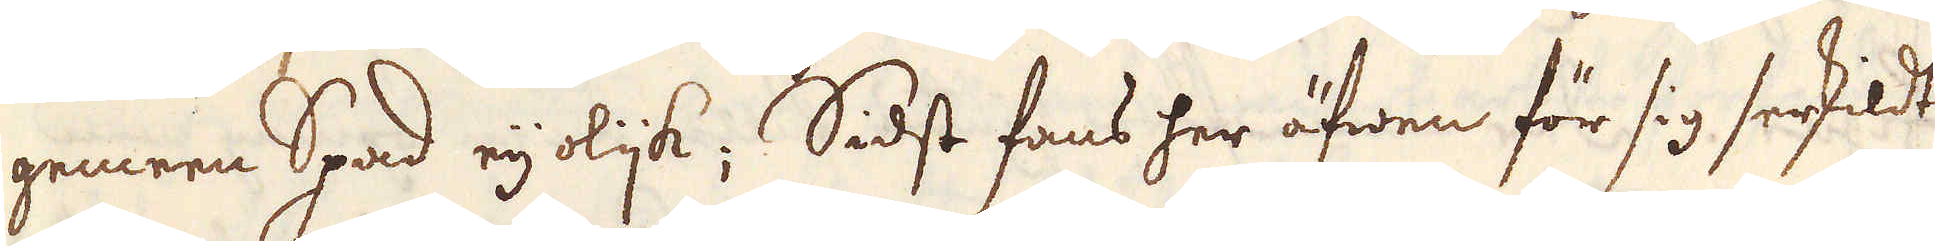gemeen Spad eij olijk; Sidst fans her äfwen för sig serskildt
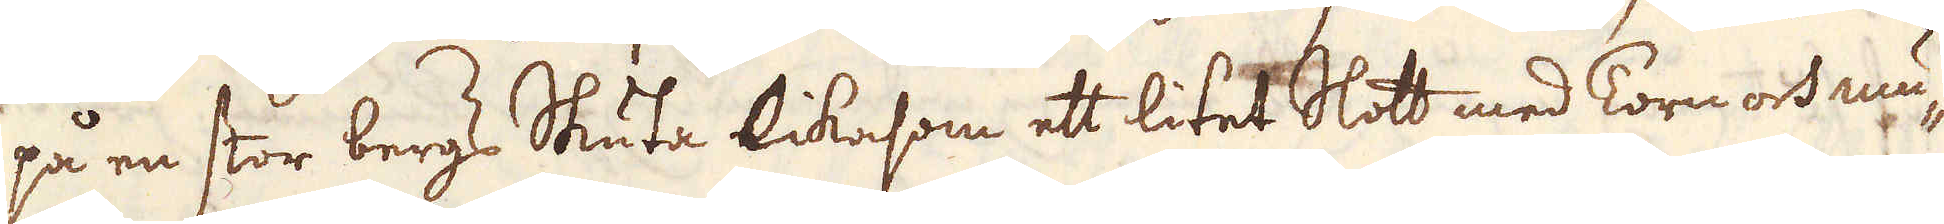på en stor bergs Skuta likasom ett litet Slott med Torn och mu-
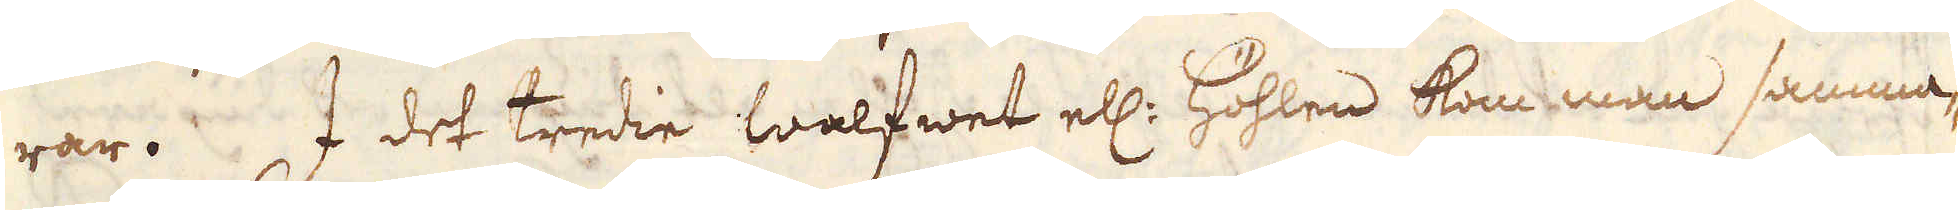rar. I det tredie walfwet ell: höhlen kom man samma-
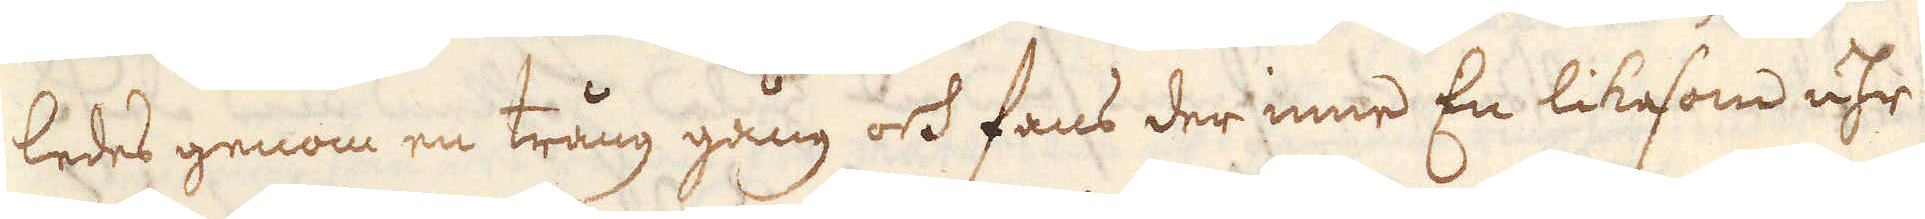ledes genom en trång gång och fans der inne En likesom uhr
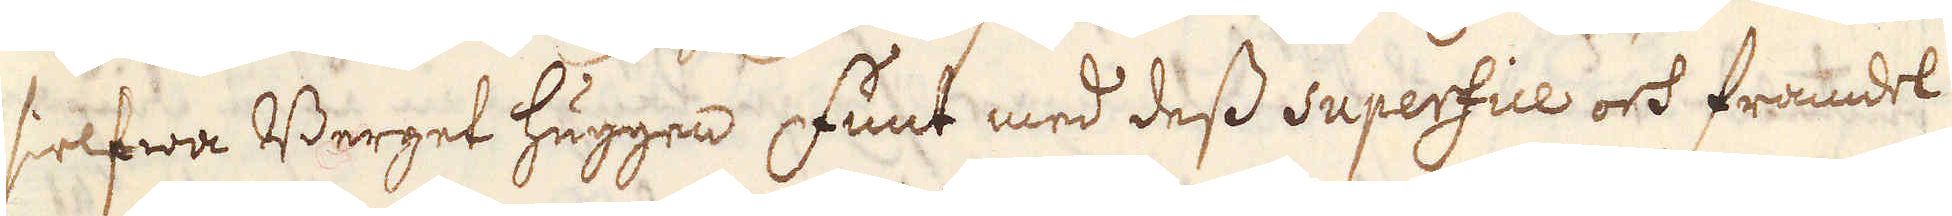sielfwa Berget huggen funt med dess Superfice och framdel
